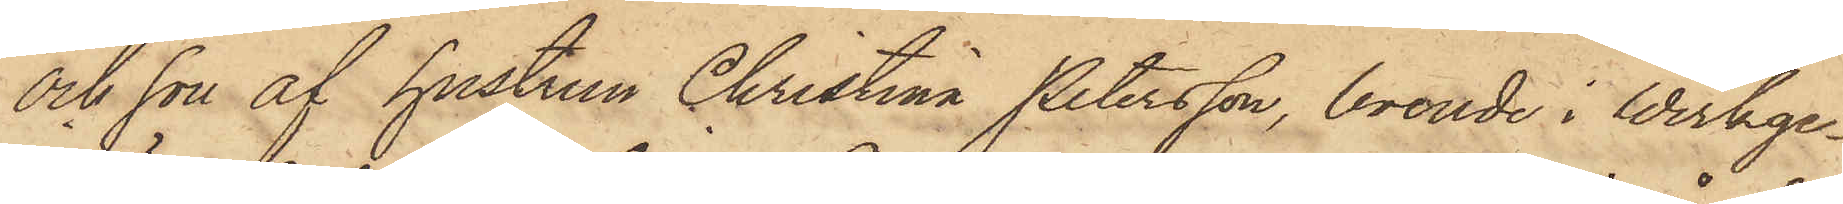och son af hustrun Christina Petersson, boende i Werkge¬
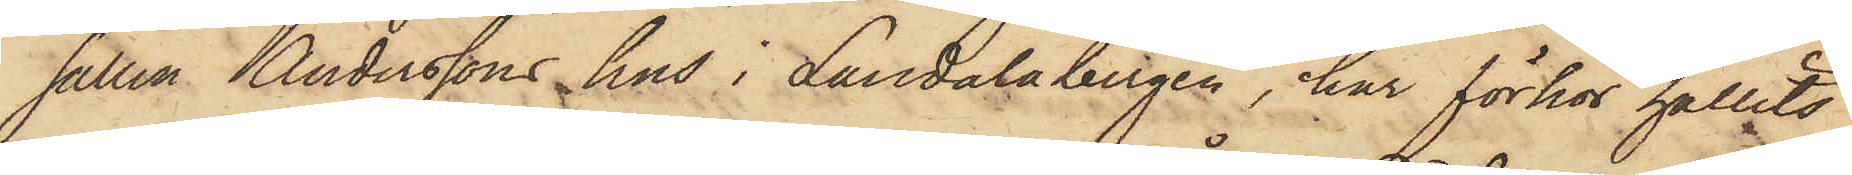sällen Anderssons hus i Landalabergen, har förhör hållits
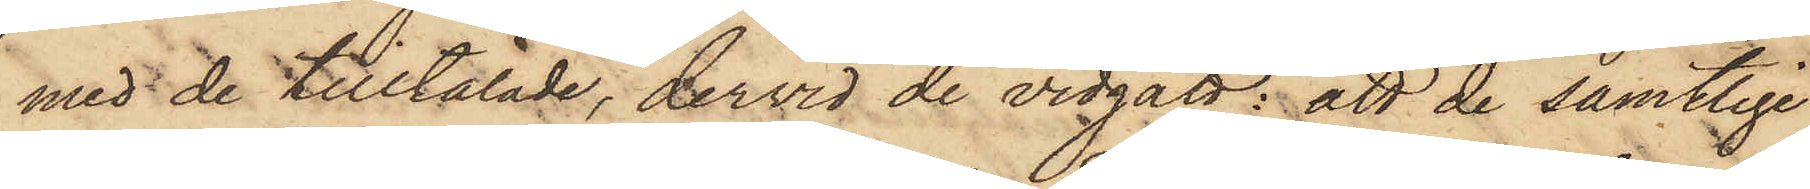med de tilltalade, dervid de vidgått; att de samtlige
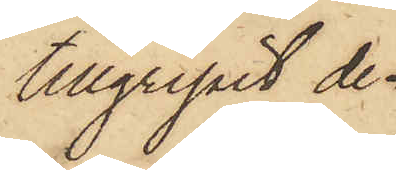tillgripit de
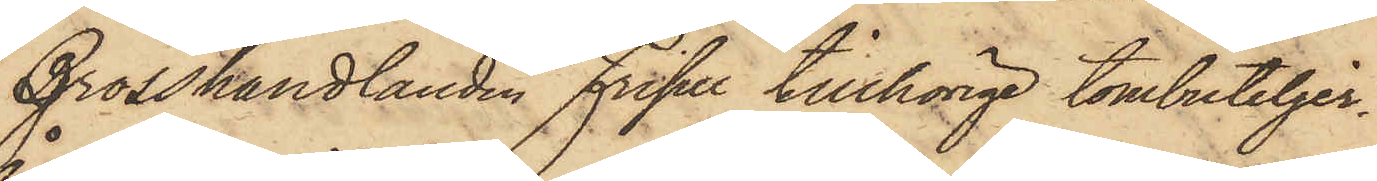Grosshandlanden Frisell tillhörige tombuteljer¬
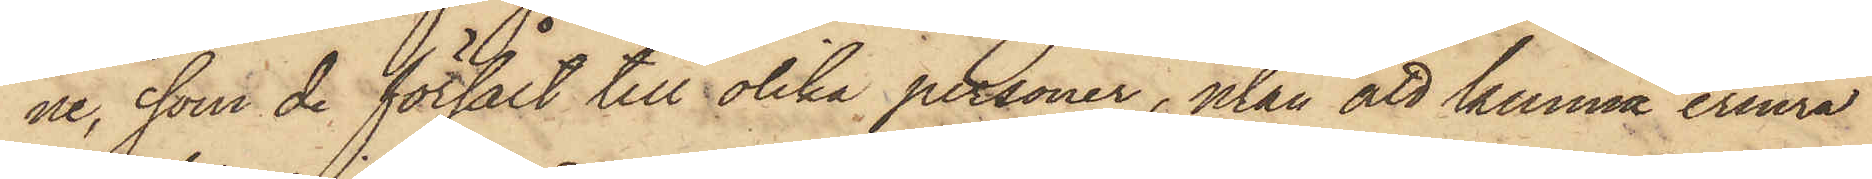ne, som de försålt till olika personer, utan att kunna erinra
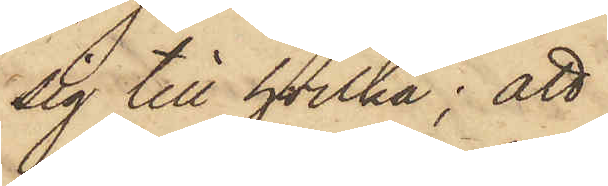sig till hvilka; att
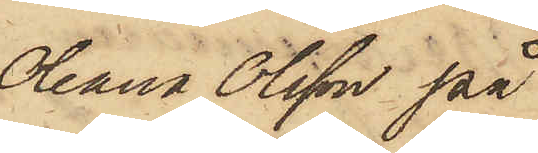Oleana Olsson på
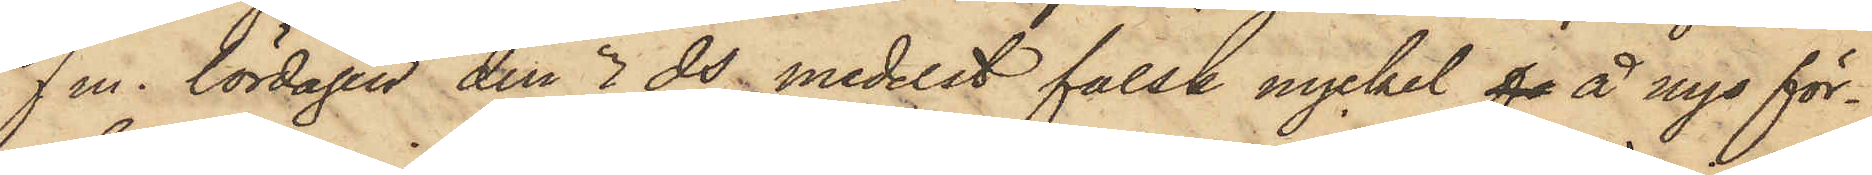f m. lördagen den 3 ds medelst falsk nyckel fo å nyo för¬
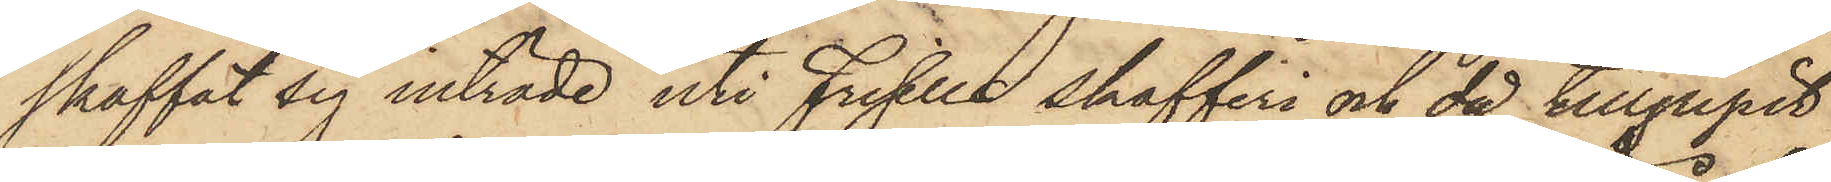skaffat sig inträde uti Frisells skafferi och då tillgripit
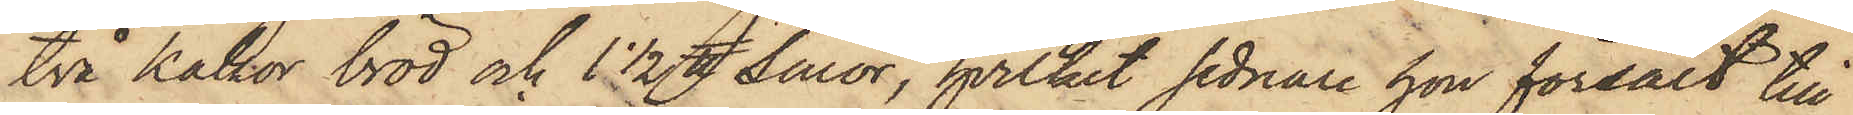två kakor bröd och 1 1/2 ℔ smör, hvilket sednare hon försålt till
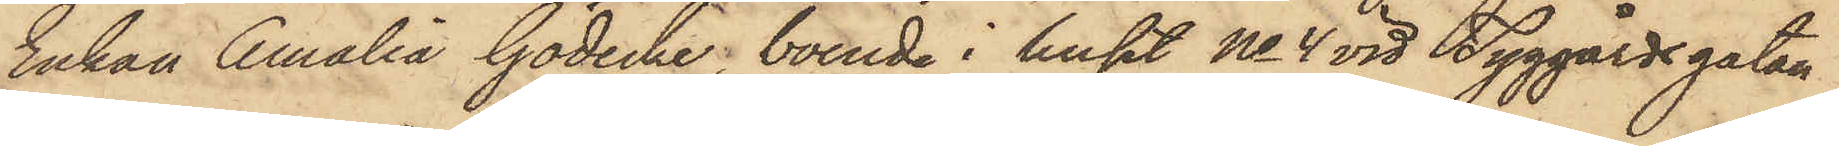Enkan Amalia Gödecke, boende i huset No 4 vid Tyggårdsgatan
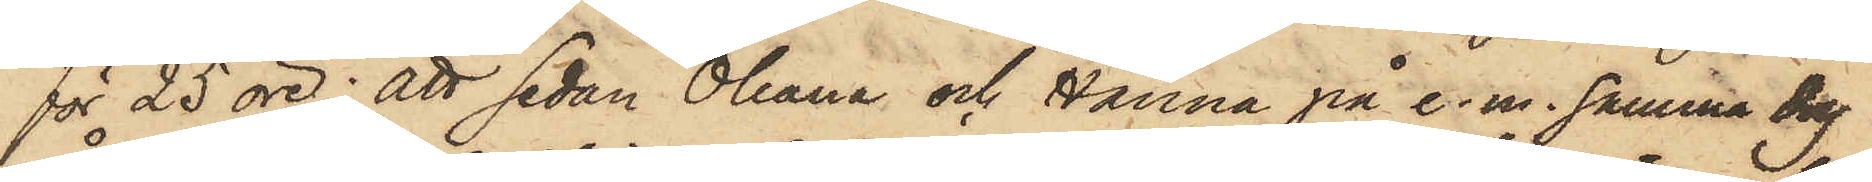för 25 öre; att sedan Oleana och Hanna på e. m. samma dag
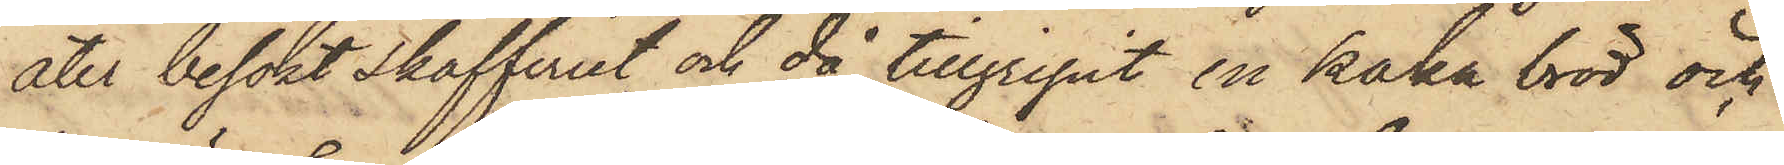åter besökt skafferiet, och då tillgripit en kaka bröd och
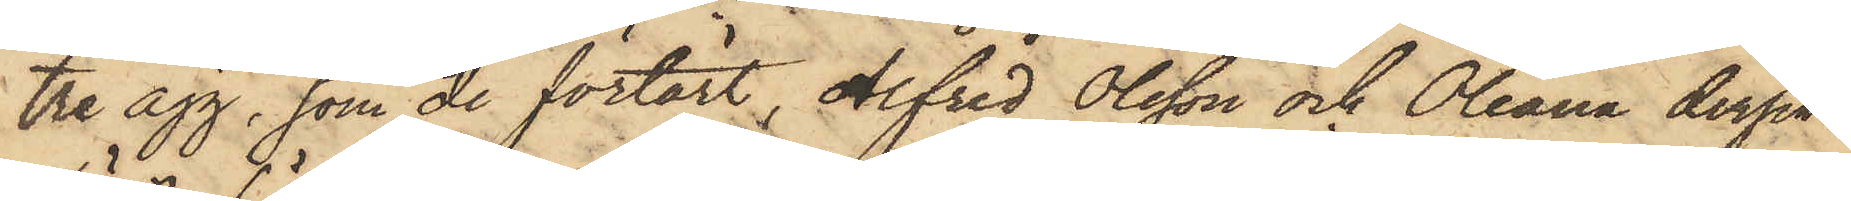tre ägg, som de förtärt, Alfred Olsson och Oleana derpå¬
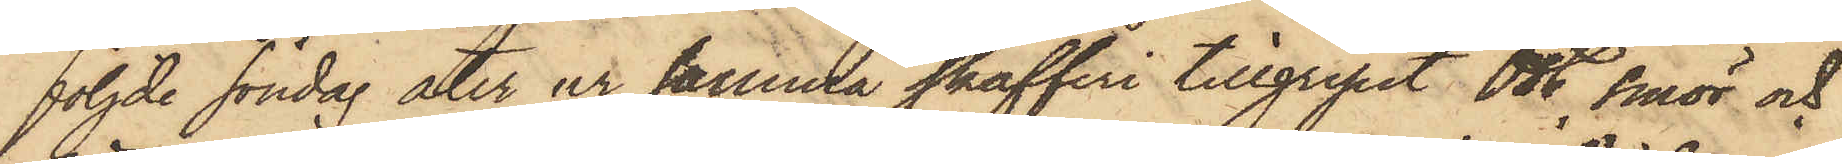följde söndag åter ur samma skafferi tillgripit ost, smör och
